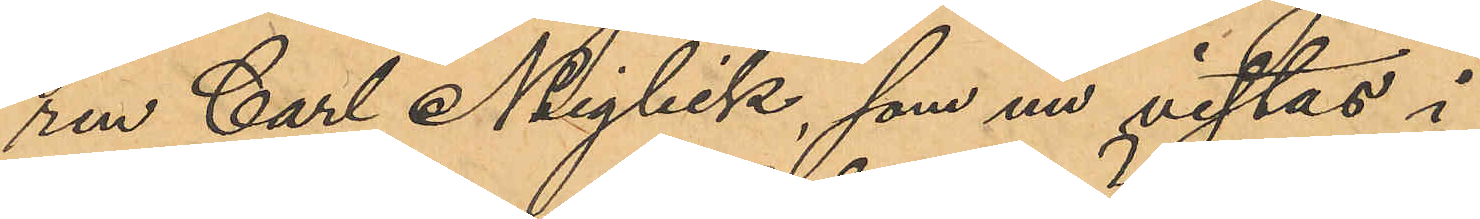ren Carl Neiglick, som nu vistas i
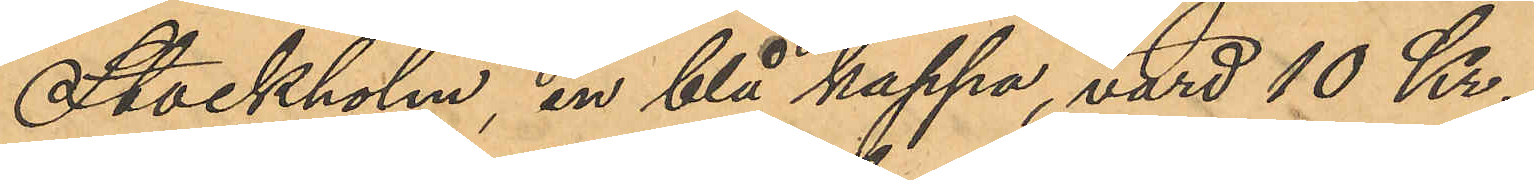Stockholm, en blå kappa, värd 10 Kr.,
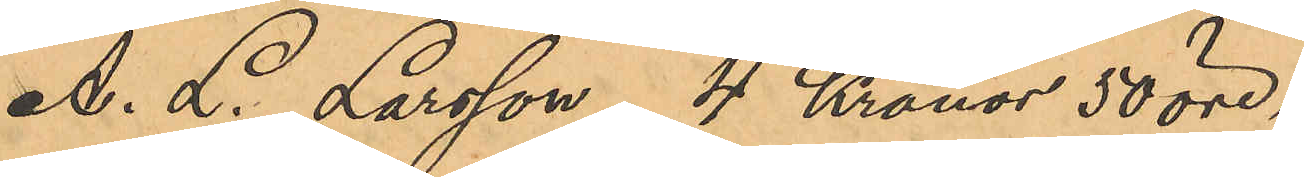A. L. Larsson 4 Kronor 50 öre,
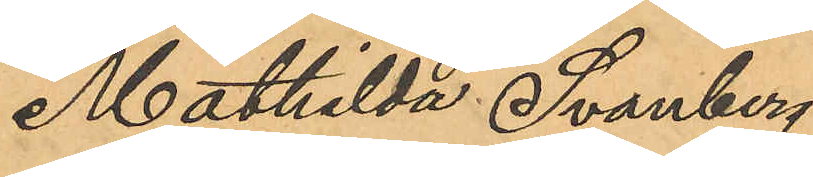Mathilda Svanberg
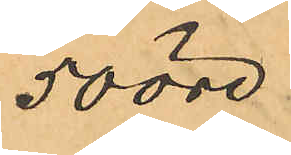50 öre
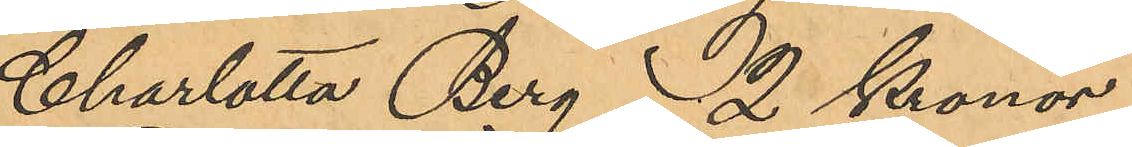Charlotta Berg 2 Kronor
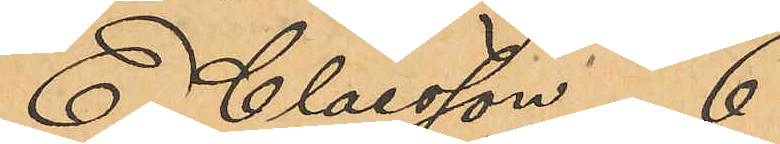E. Claesson 6 
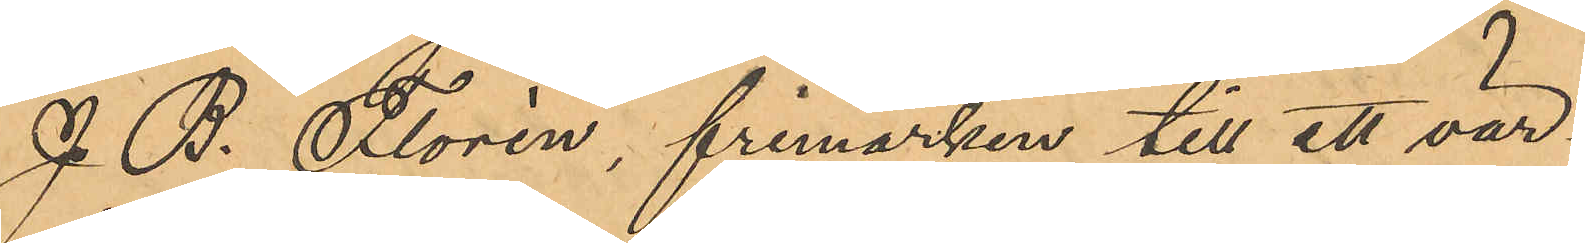J. B. Florén, frimärken till ett vär¬
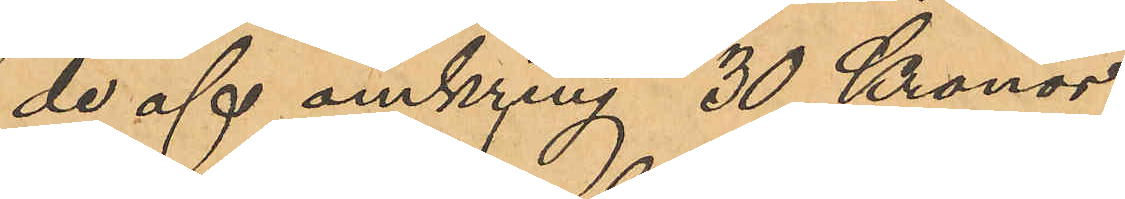de af omkring 30 Kronor,
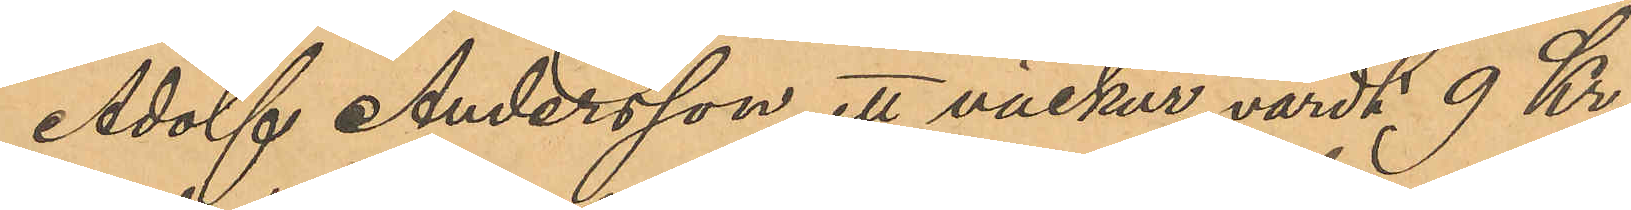Adolf Andersson, ett väckur, värdt 9 Kr.
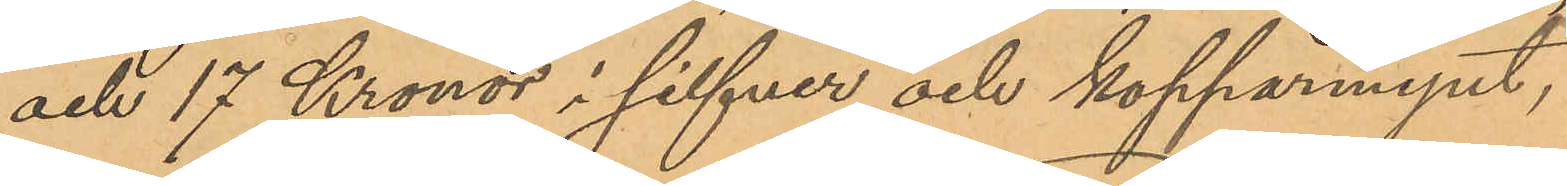och 17 Kronor i silfver och kopparmynt,
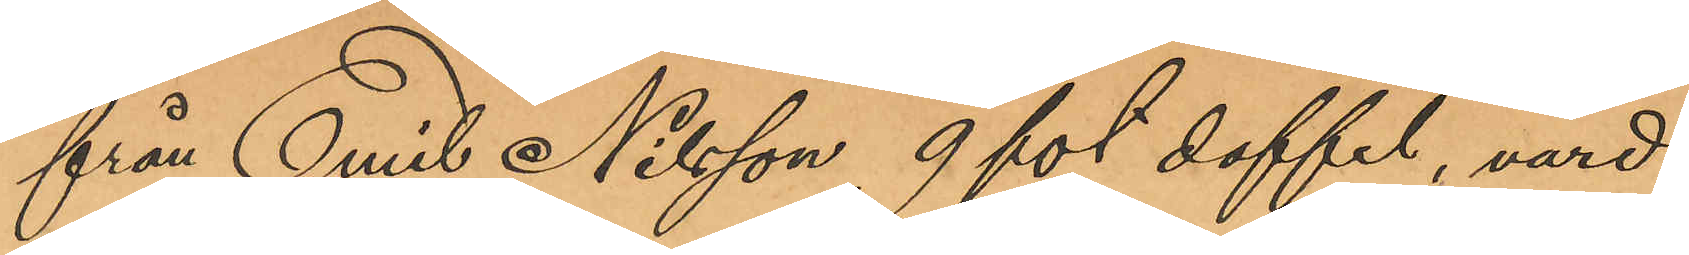från Emil Nilsson 9 fot doffel, värd
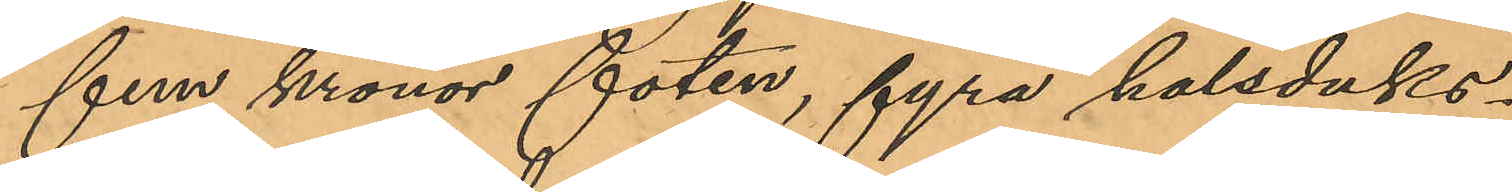fem kronor foten, fyra halsduks¬
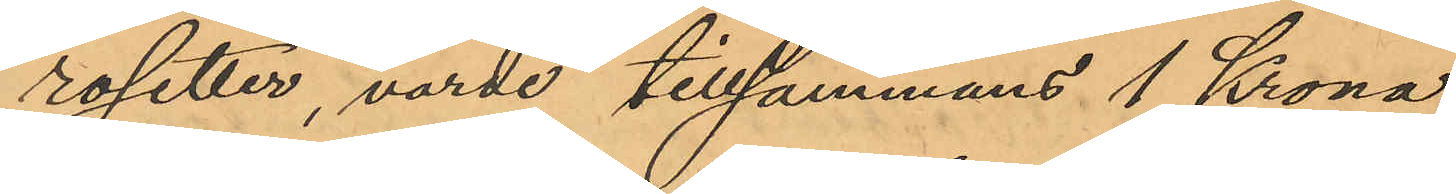rosetter, värde tillsammans 1 Krona,
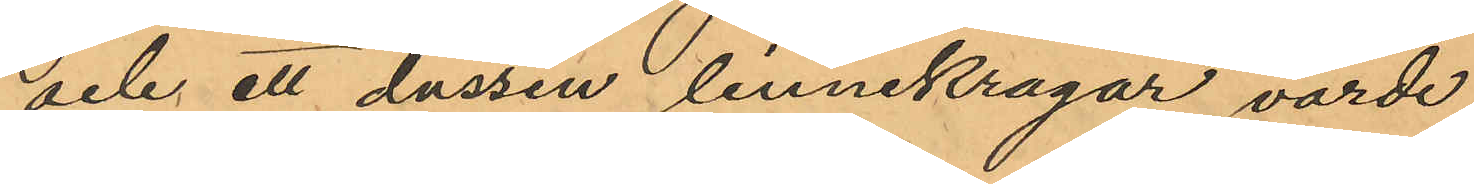och ett dussin linnekragar, värde
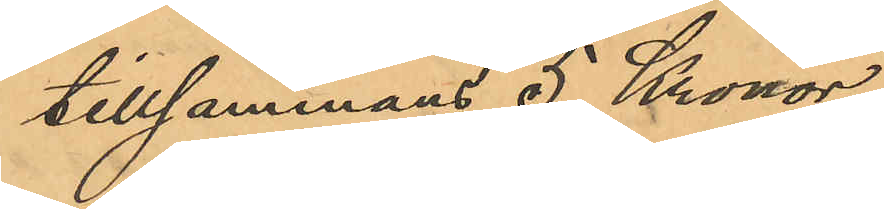tillsammans 5 Kronor.
